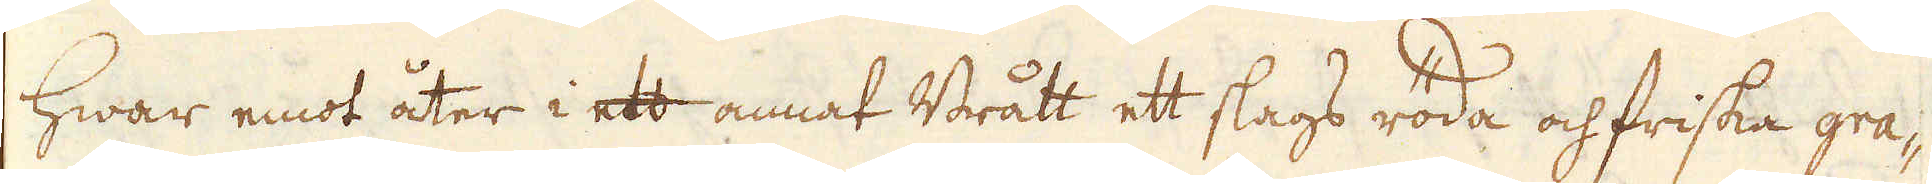hwar emot åter i ett annat Brått ett slags röda och friska gra-
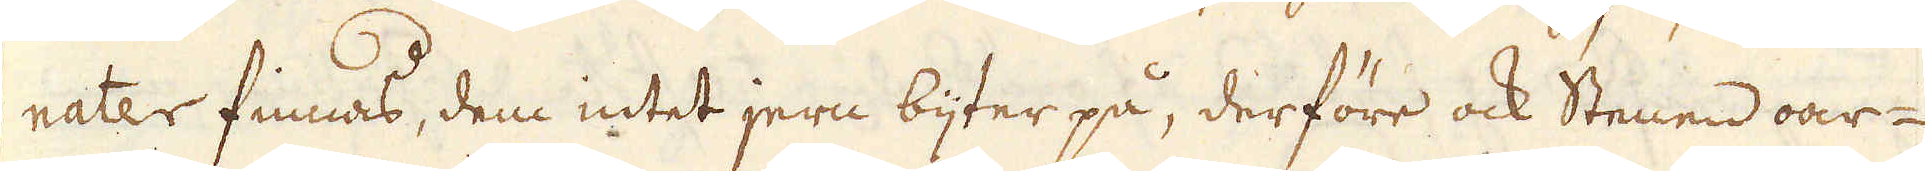nater finnas, dem intet jern bijter på, derföre ock Stenen oar-
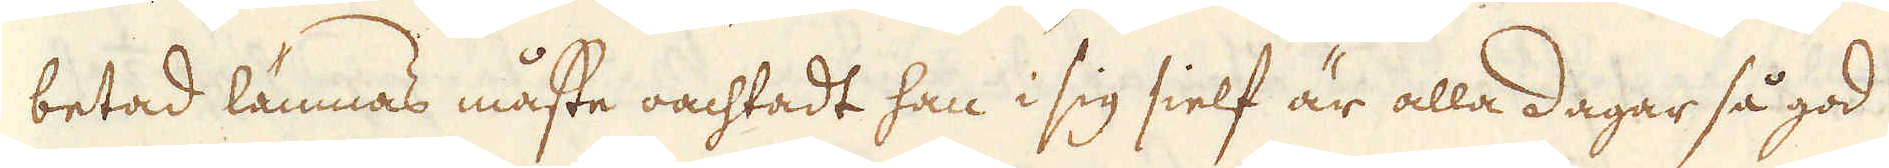betad lämnas måste oachtadt han i sig sielf är alla dagar så god
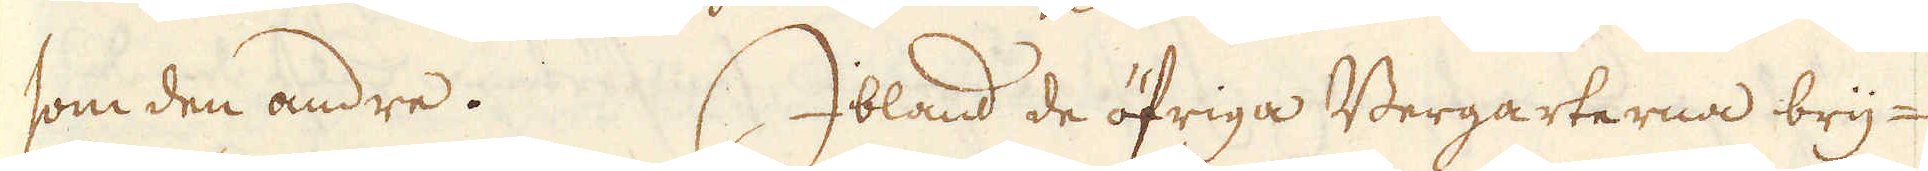som den andre. Ibland de öfriga Bergarterna bry-
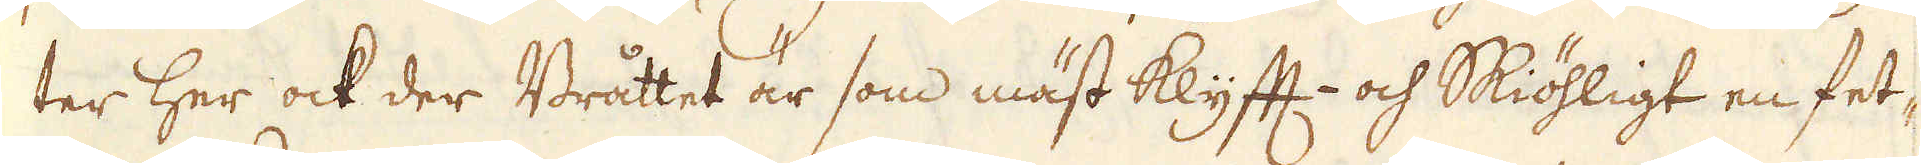ter her ock der Bråttet är som mäst Klyfft- och Skiöhligt en fet-
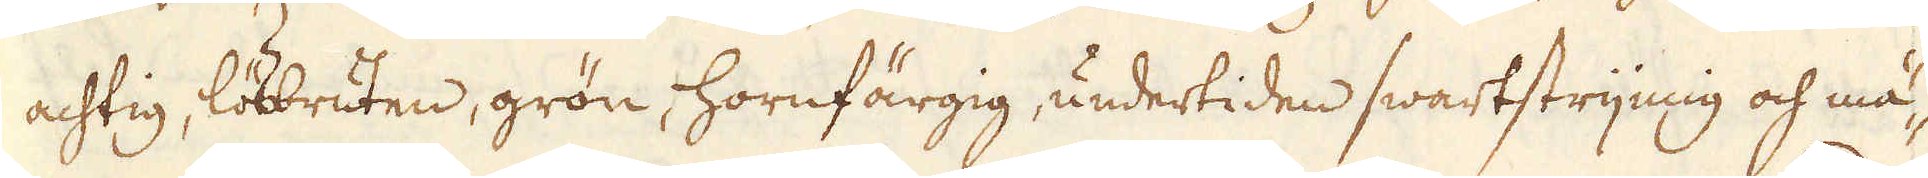achtig, lösbruten, grön, hornfärgig, undertiden swartstrijmig och mä-
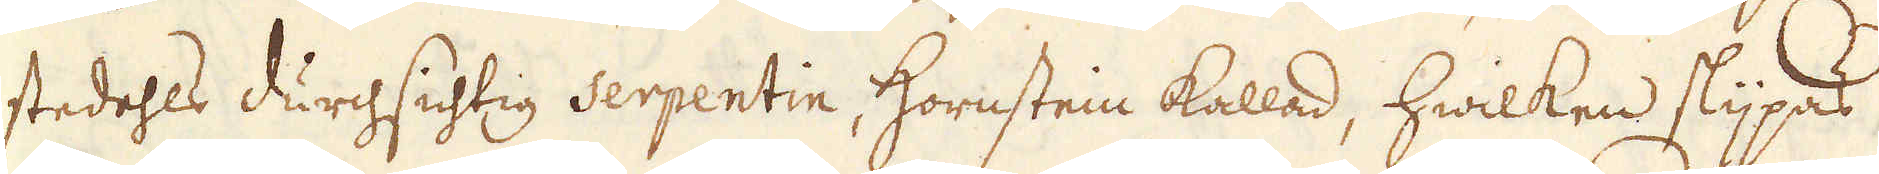stedehls durchsichtig serpentin, Hornstein kallad, hwilken slijpas
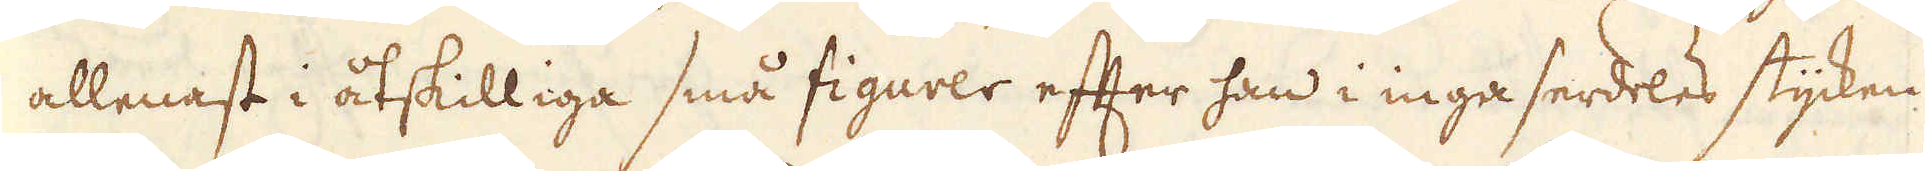allenast i åtskilliga små figurer efter han i inga serdeles stycken
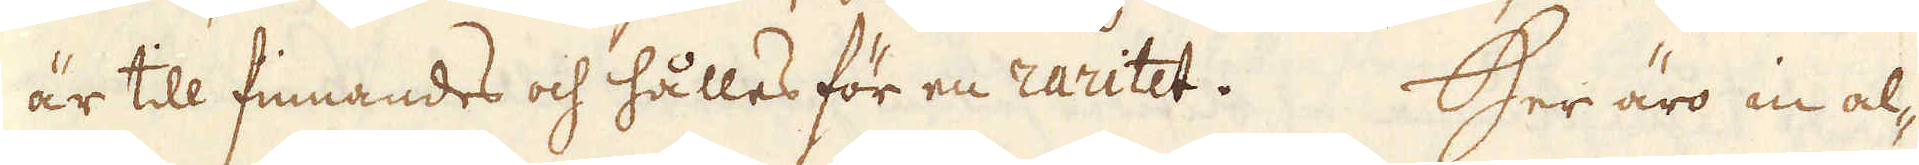är till finnandes och hålles för en raritet. Her äro in al-
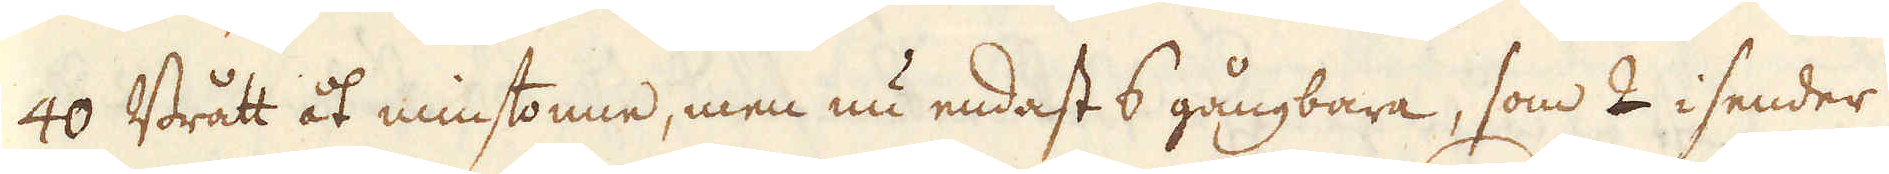40 Brått åt minstonne, men nu endast 6 gångbara, som 2 i sender
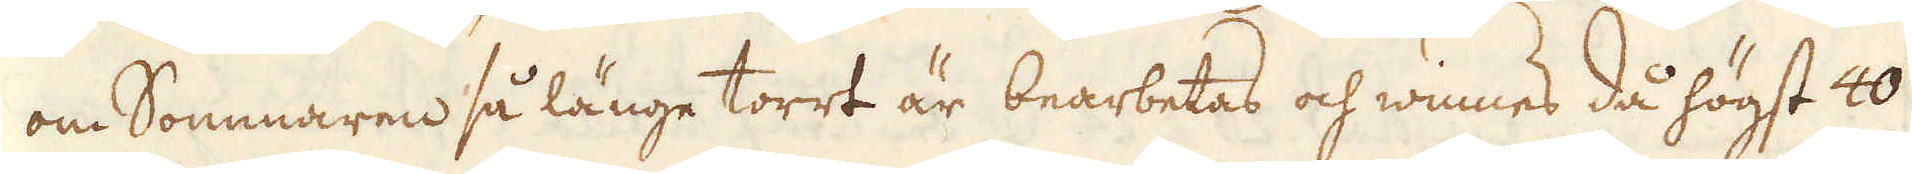om Sommaren så länge torrt är bearbetas och winnes då högst 40
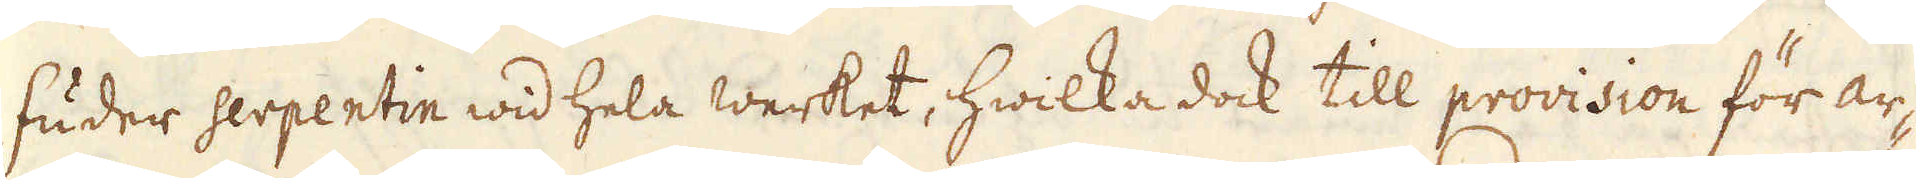Fuder serpentin wid hela werket, hwilka dock till provision för ar-
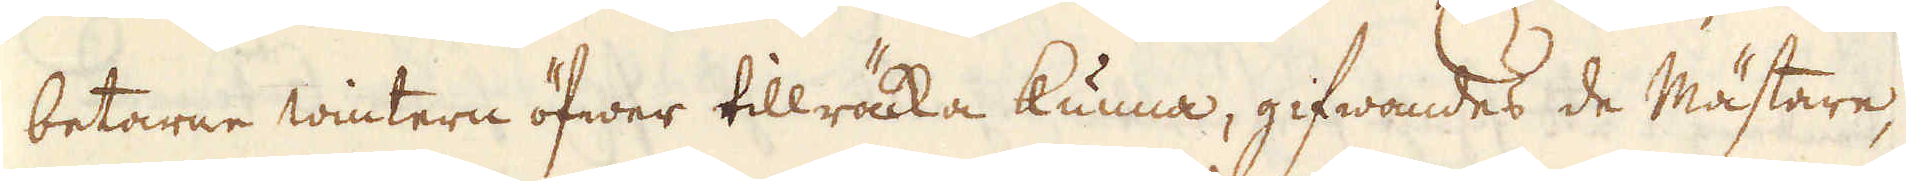betarne wintern öfwer tillräcka kunna, gifwandes de Mästare,
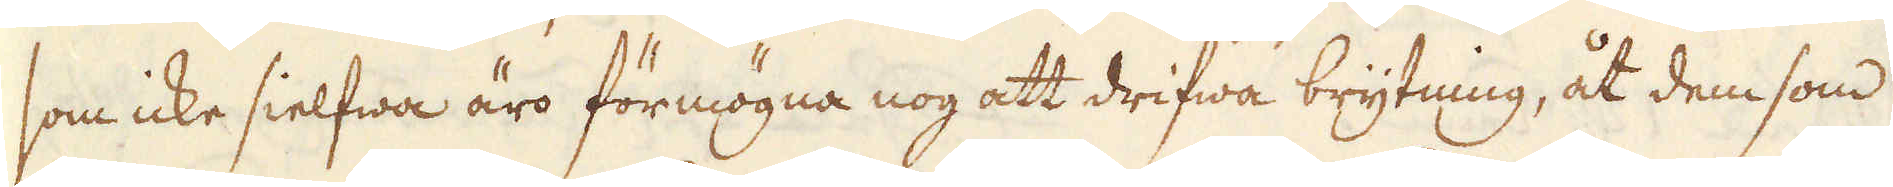som icke sielfwa äro förmögna nog att drifwa brytning, åt dem som
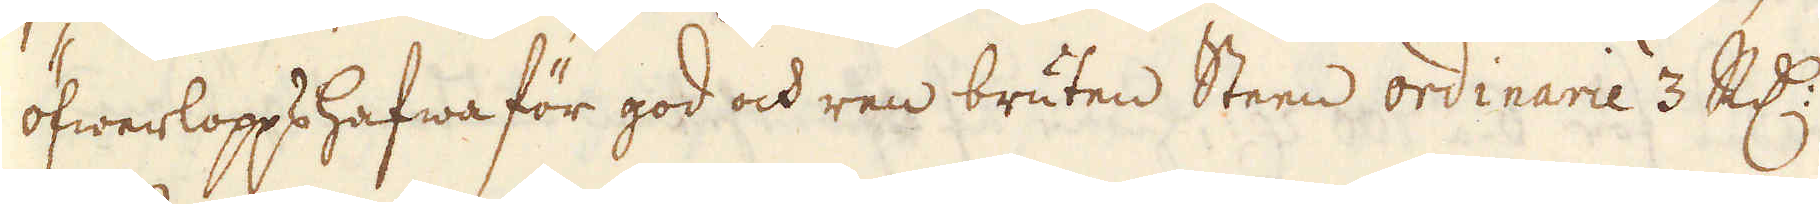öfwerlopps hafwa för god och ren bruten Steen ordinarie 3 R:dr
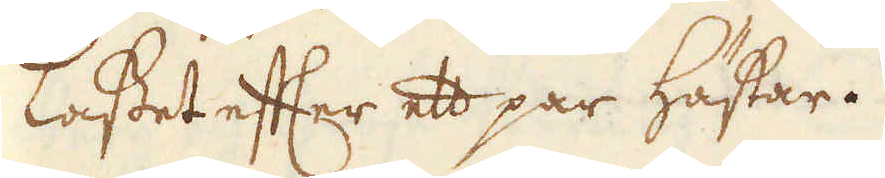Lasset efter ett par hästar.
